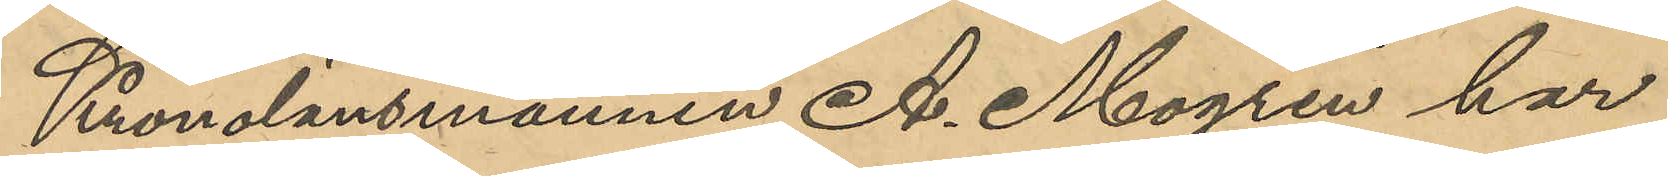Kronolänsmannen A. Mogren har
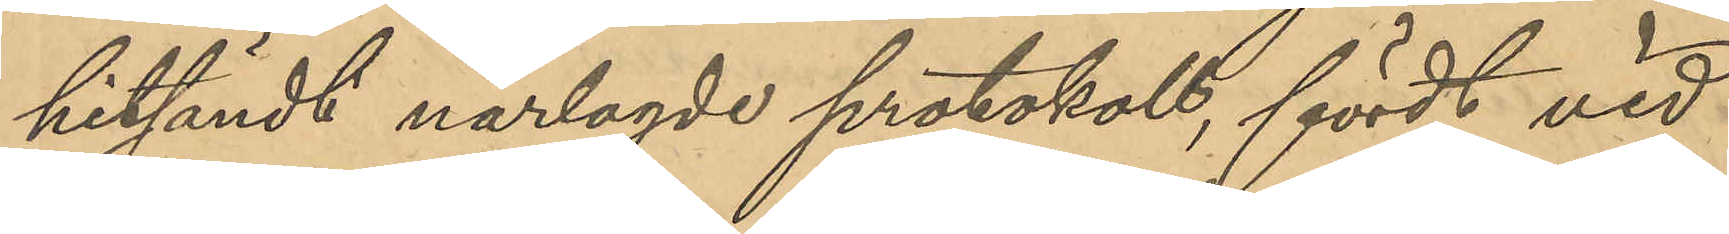hitsändt närlagde protokoll, fördt vid
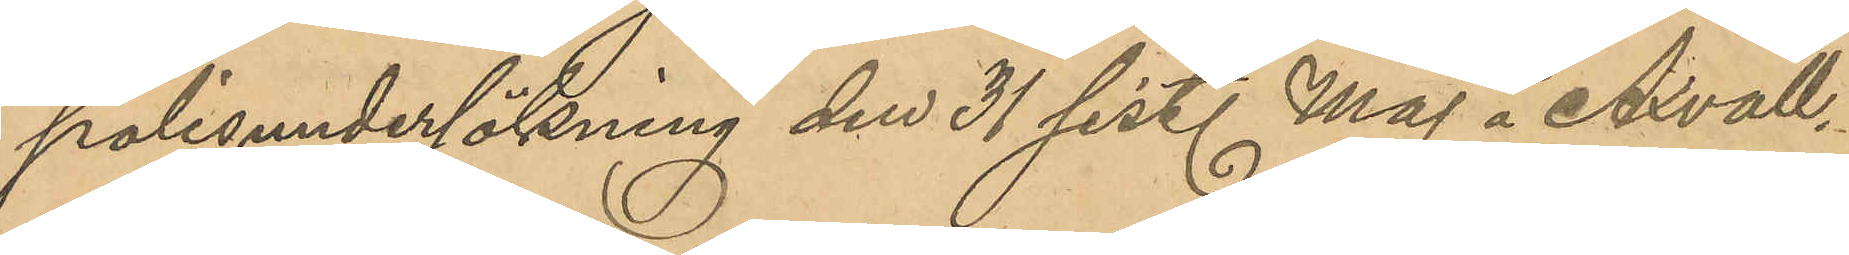polisundersökning den 31 sist. Maj å Axvall.
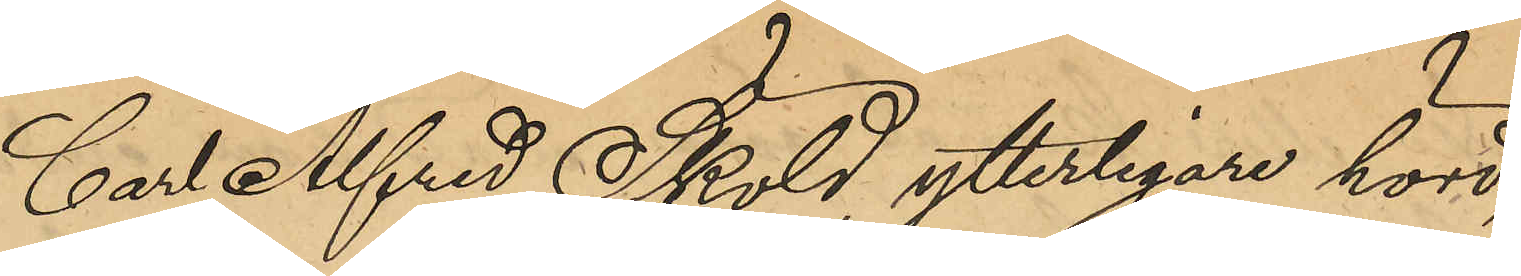Carl Alfred Sköld, ytterligare hörd,
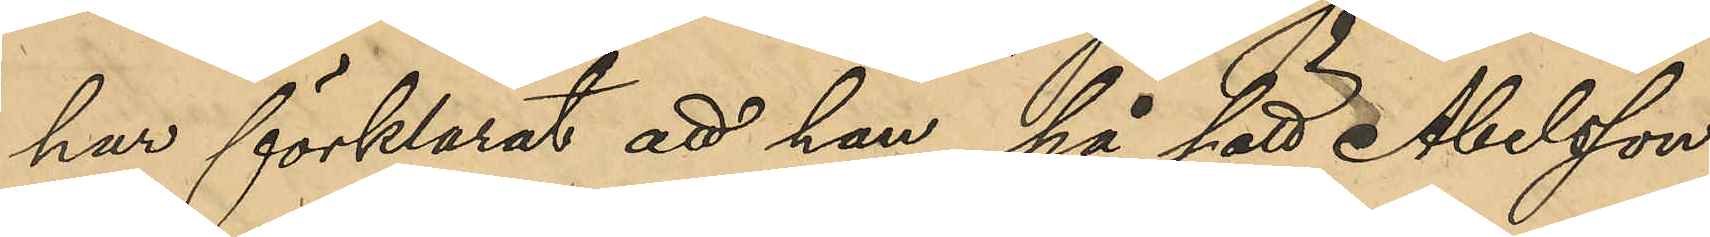har förklarat att han, på sätt Abelsson
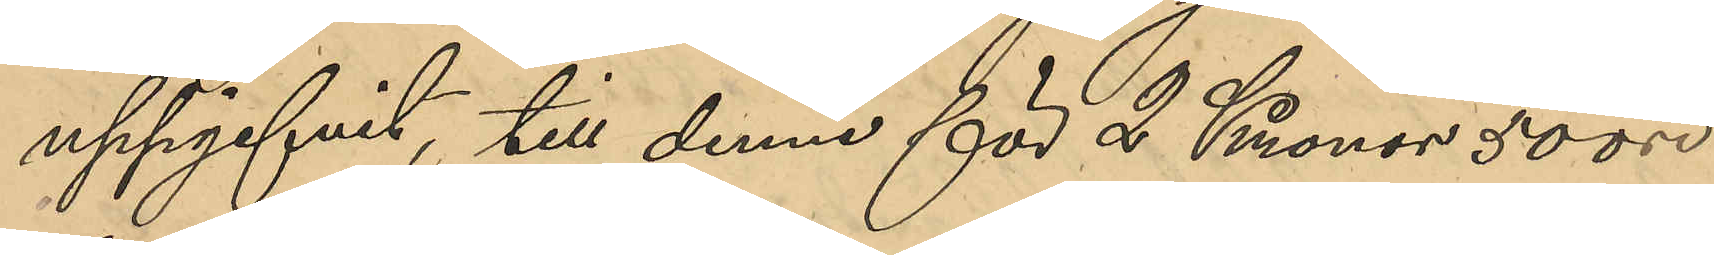uppgifvit, till denne för 2 Kronor 50 öre
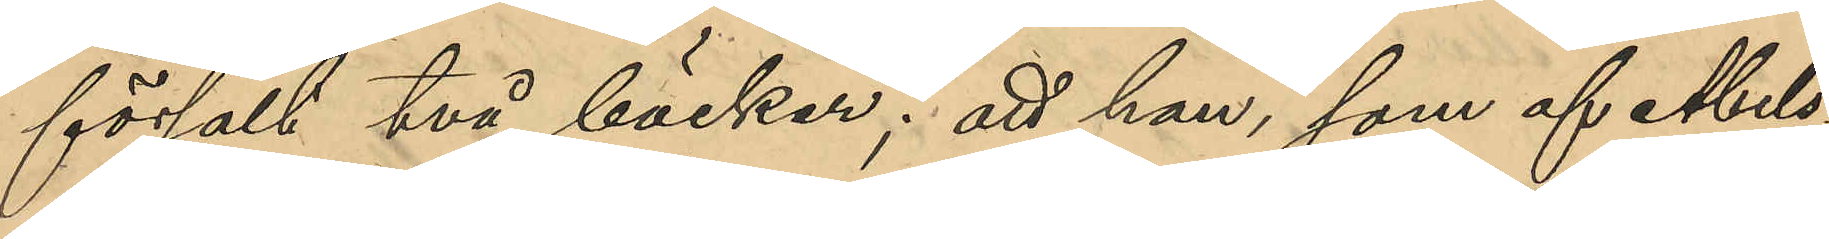försålt två böcker; att han, som af Abels¬
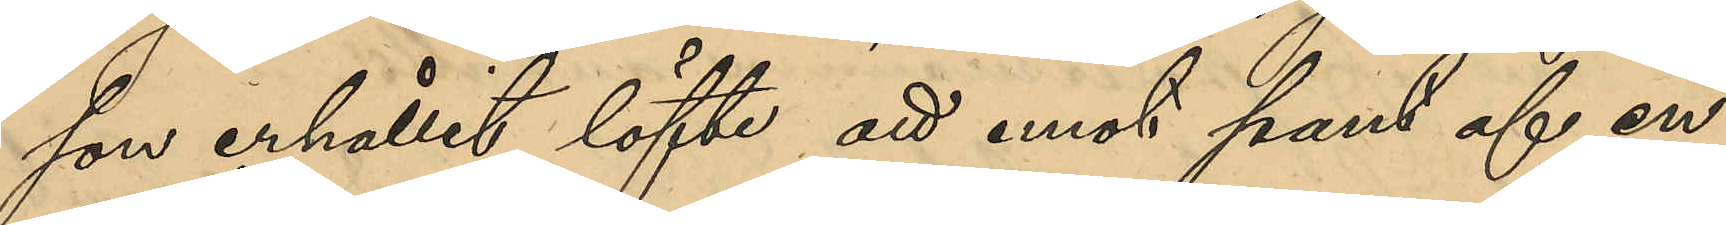son erhållit löfte att mot pant af en
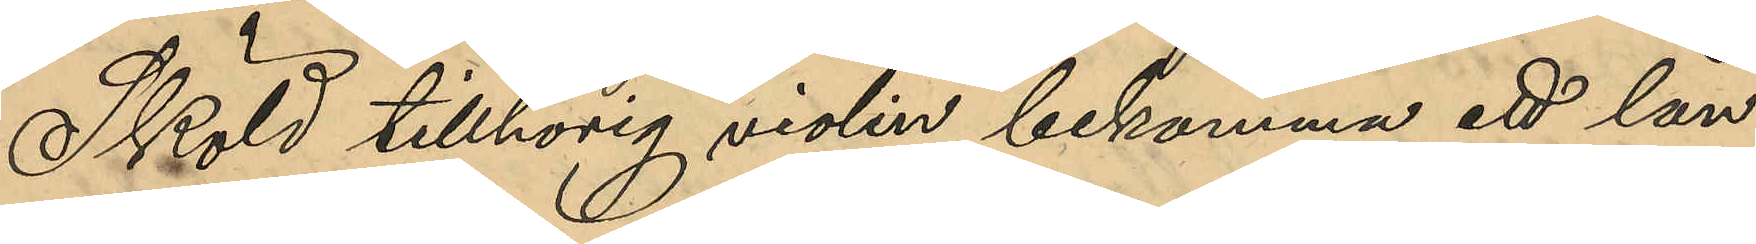Sköld tillhörig violin bekomma ett lån
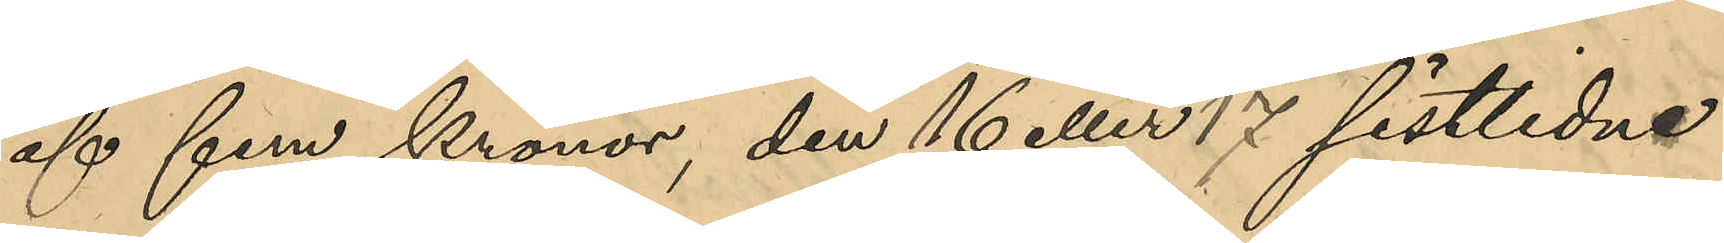af fem kronor, den 16 eller 17 sistlidne
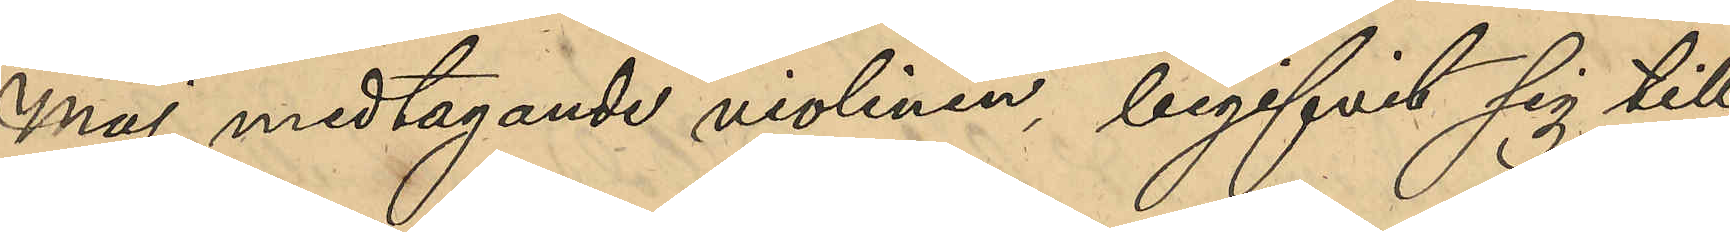Maj, medtagande violinen begifvit sig till
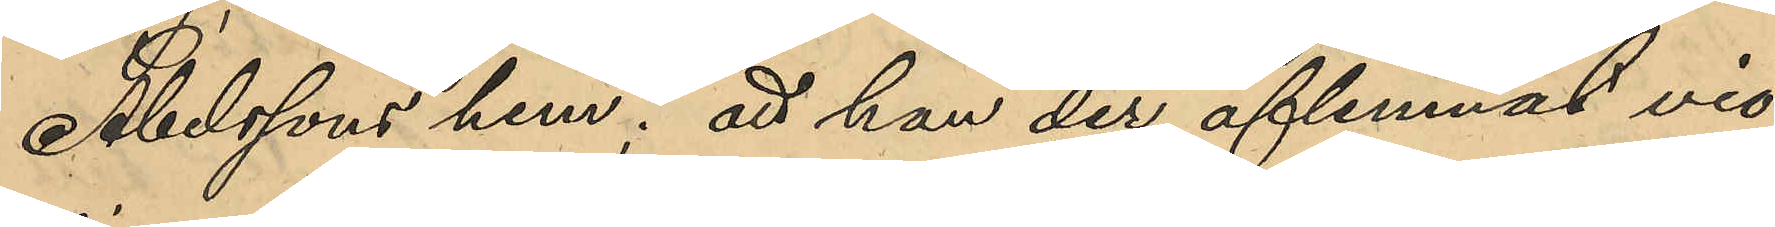Abelssons hem; att han der aflemnat vio¬
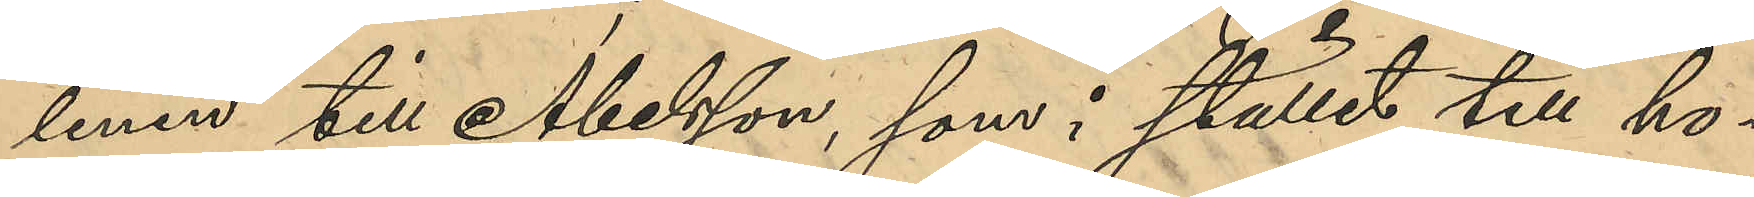linen till Abelson, som i stället till ho¬
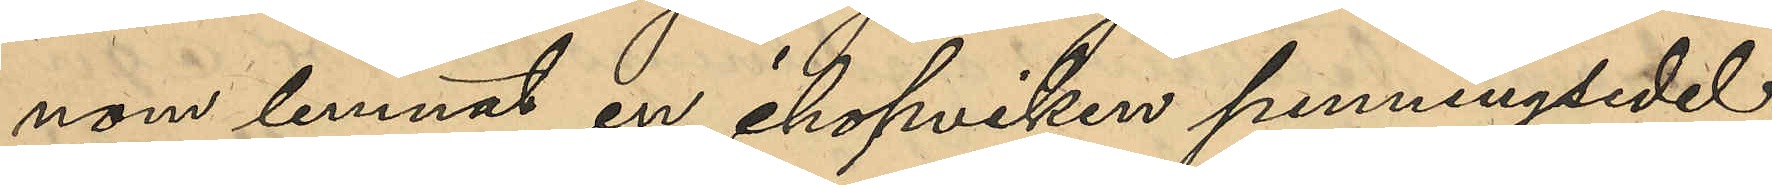nom lemnat en ihopviken penningsedel;
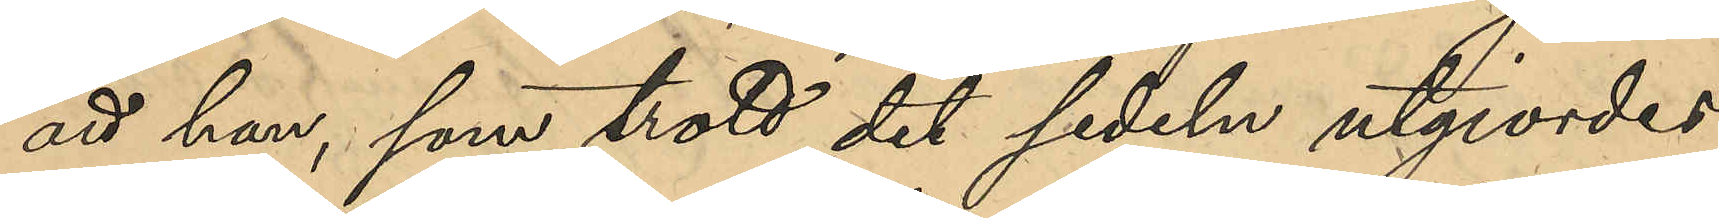att han, som trott det sedeln utgjordes
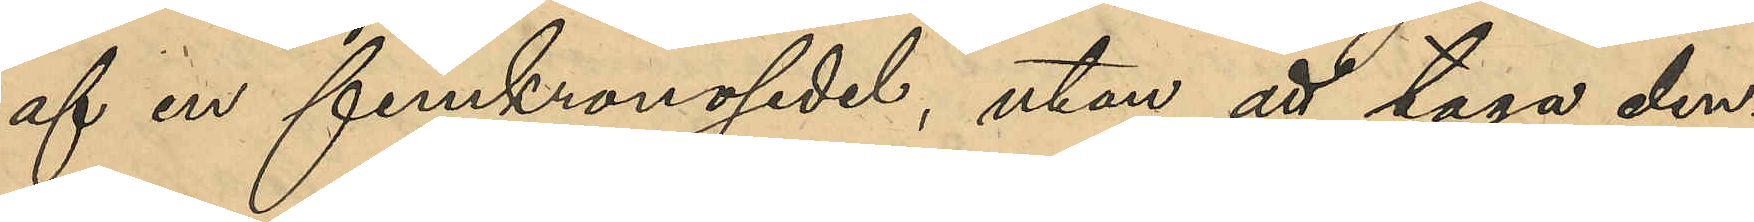af en femkronosedel, utan att taga den¬
